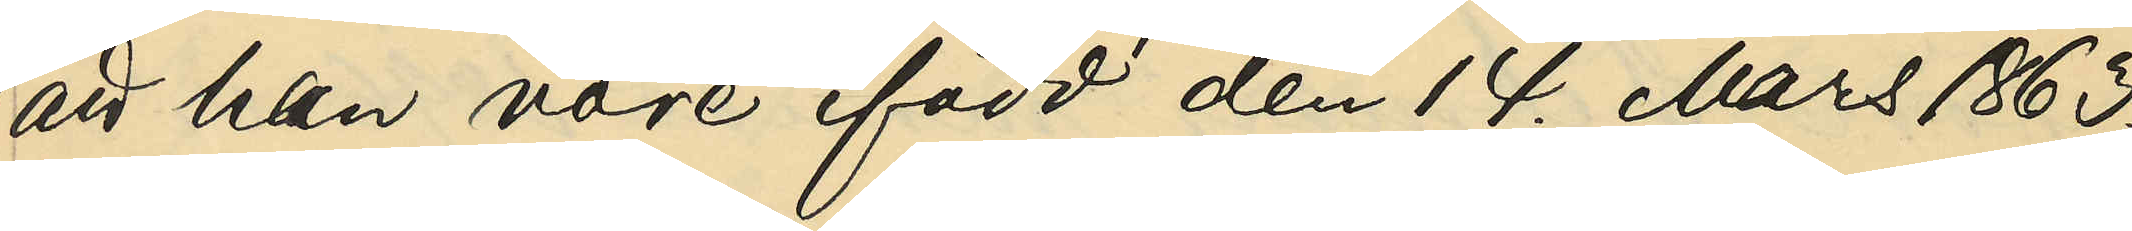att han vore född den 14. Mars 1863.
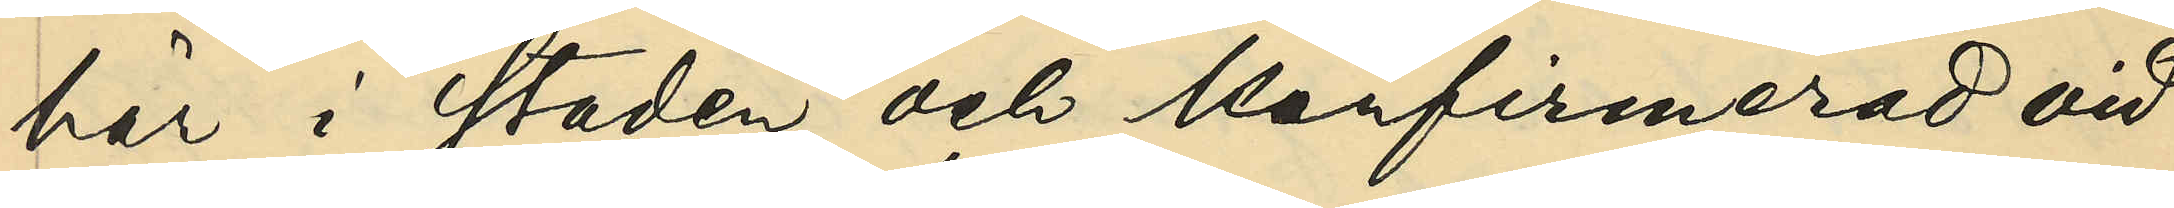här i staden och konfirmerad vid
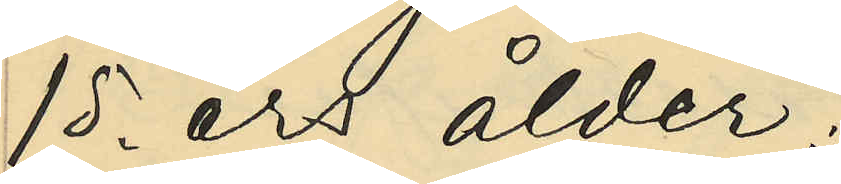15. års ålder;
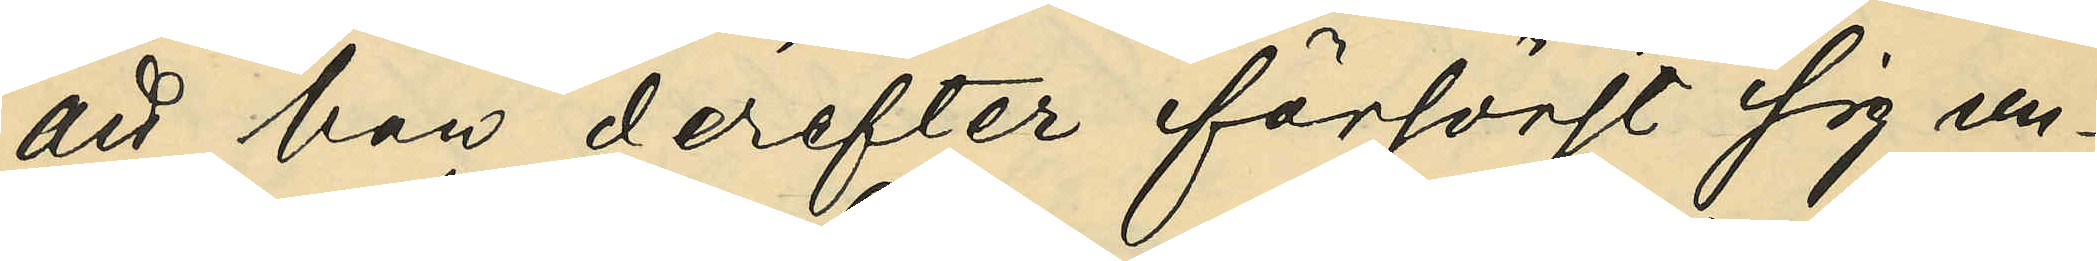att han derefter försöjt sig un¬
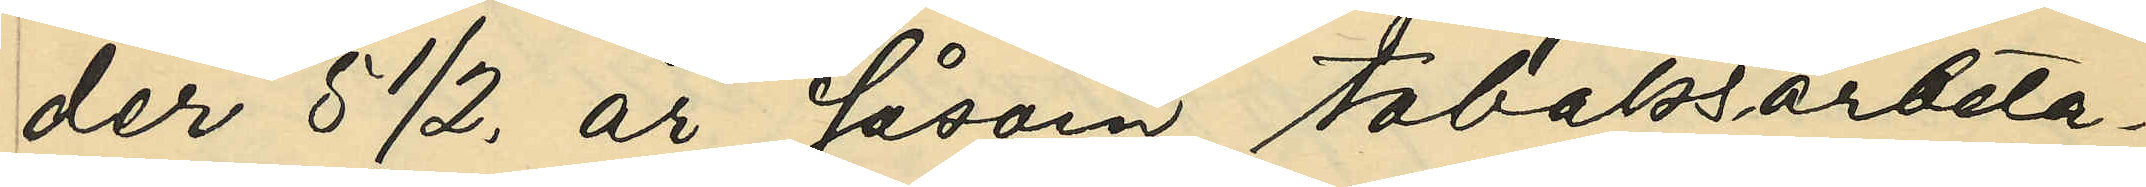der 5 ½. år såsom tobaksarbeta¬
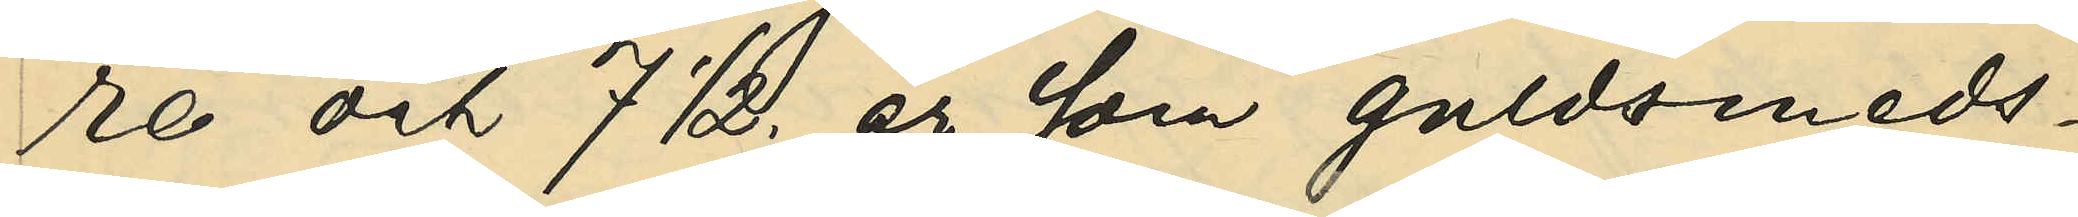re och 7 ½. år som guldsmeds¬
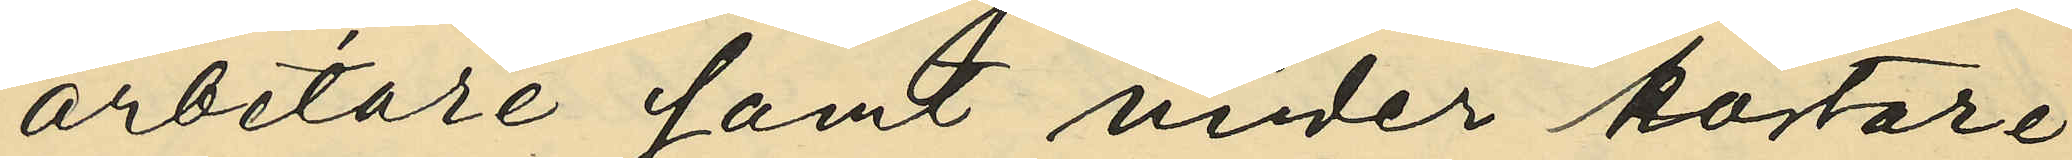arbetare samt under kortare
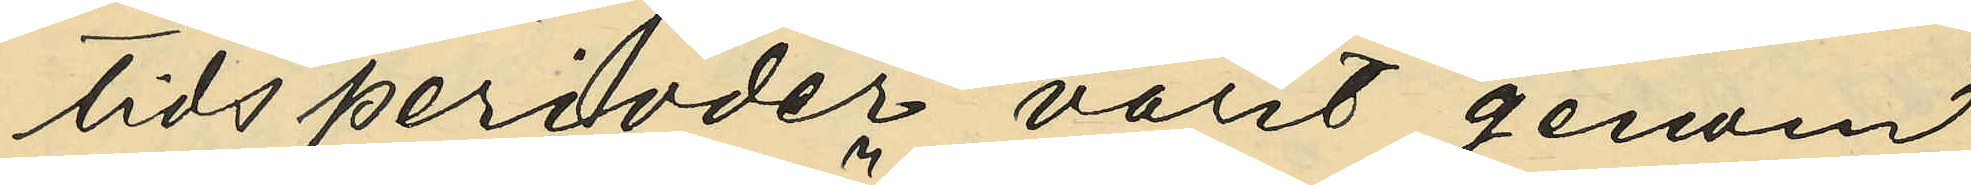tids perioder varit genom
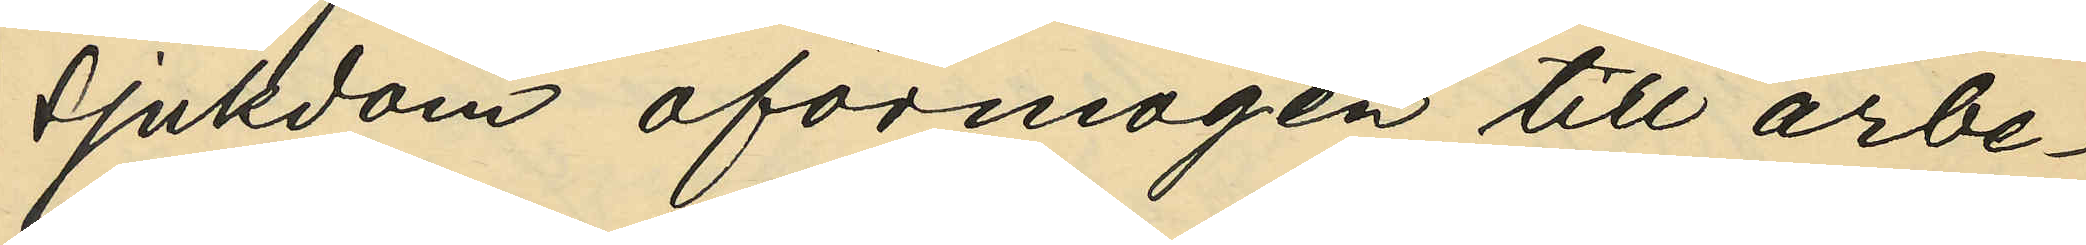sjukdom oförmögen till arbe¬
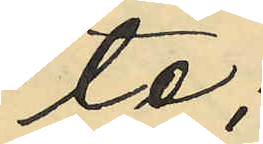te;
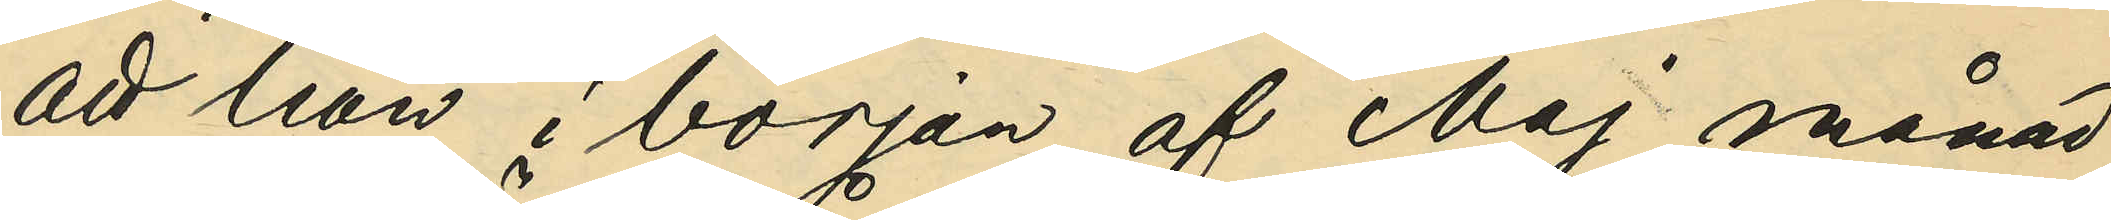att han i bröjan af Maj månad
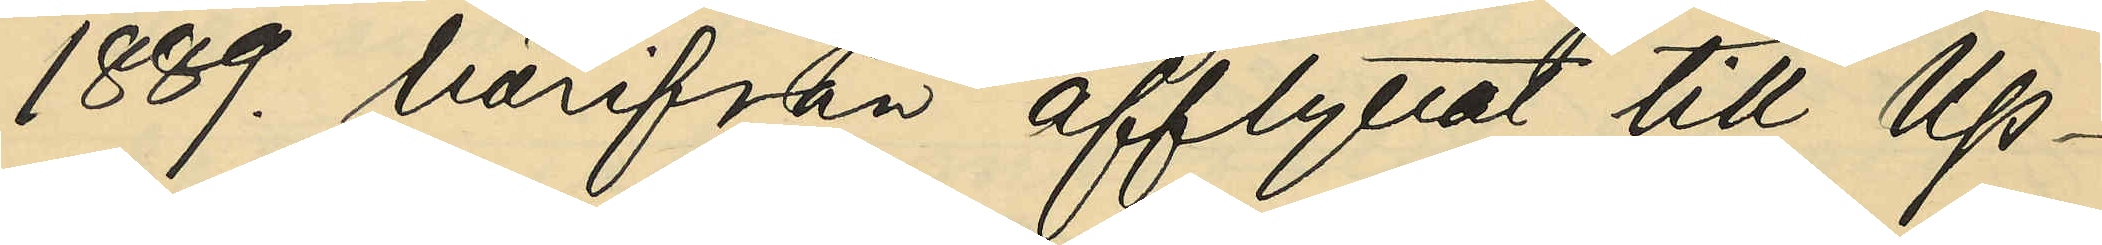1889. härifrån afflyttat till Up¬
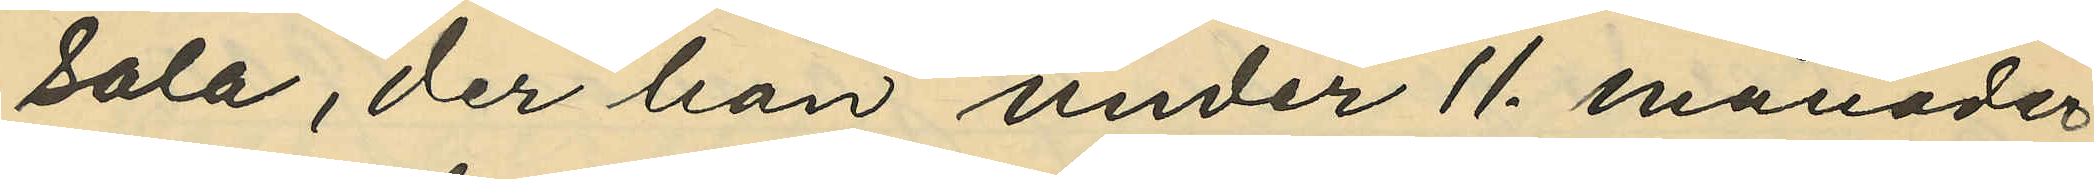sala, der han under 11. månader
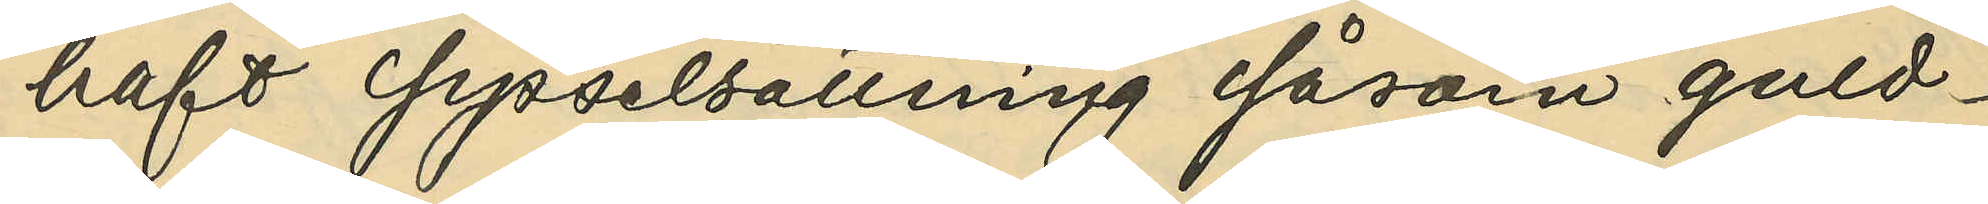haft sysselsättning såsom guld¬
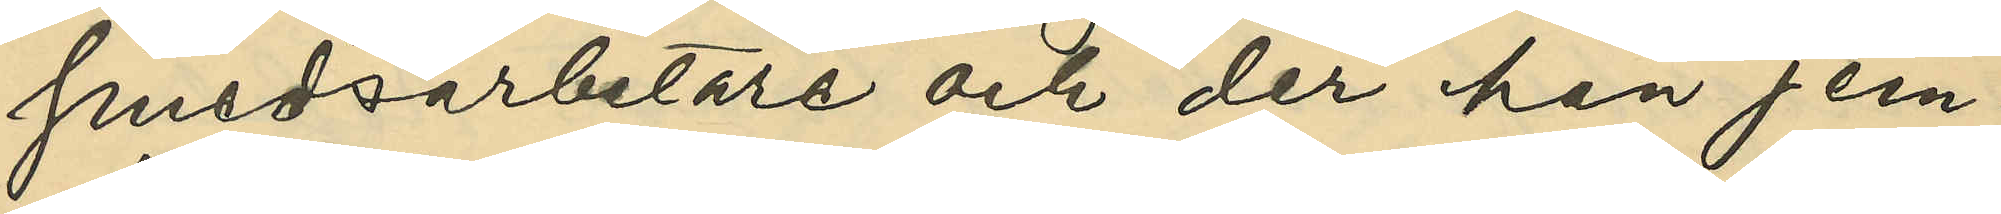smedsarbetare och de han jem¬
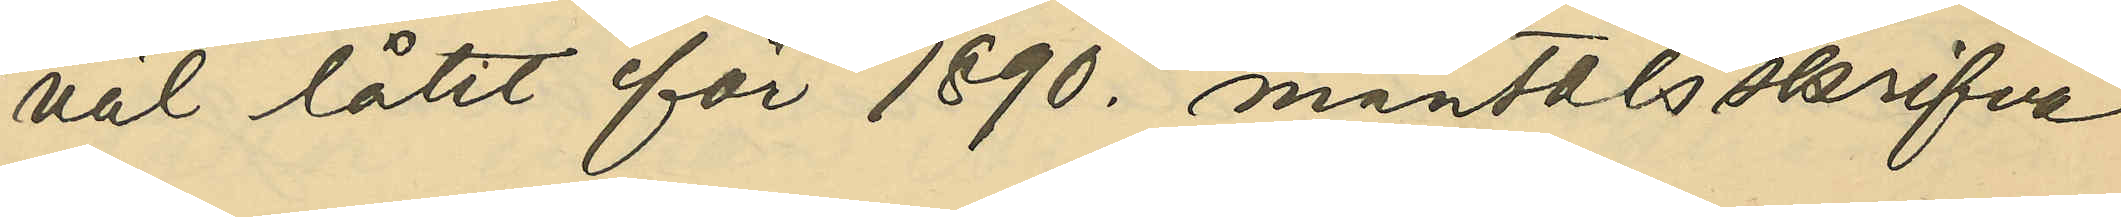väl låtit för 1890. mantalsskrifva
